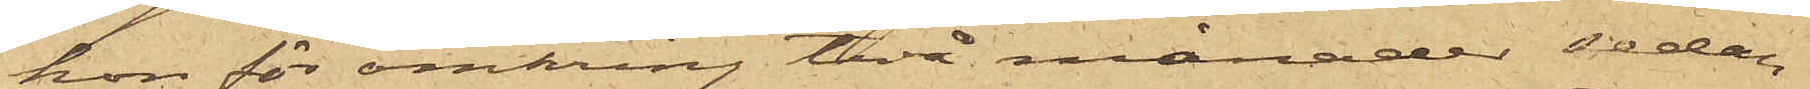hon för omkring två månader sedan
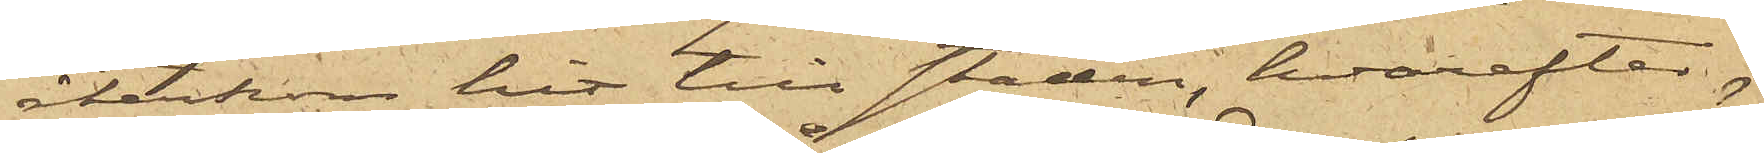återkom hit till staden, hvarefter
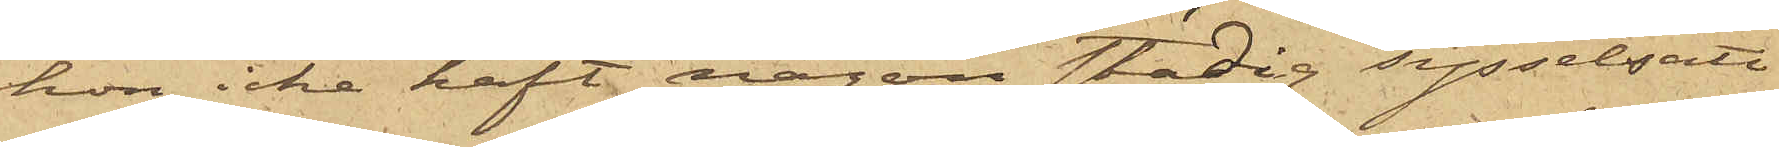hon icke haft någon stadig sysselsätt¬
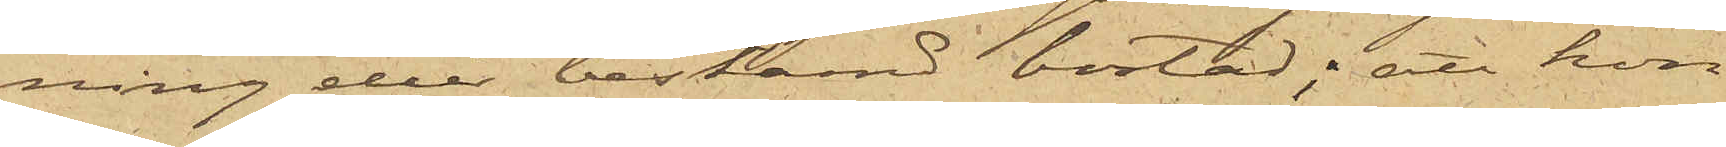ning eller bestämd bostad; att hon
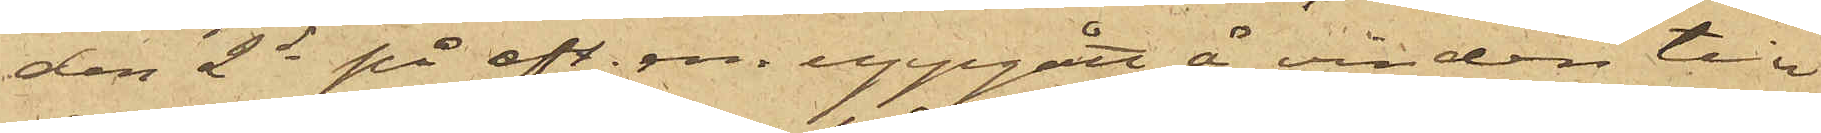den 2d på eft. m. uppgått å vinden till
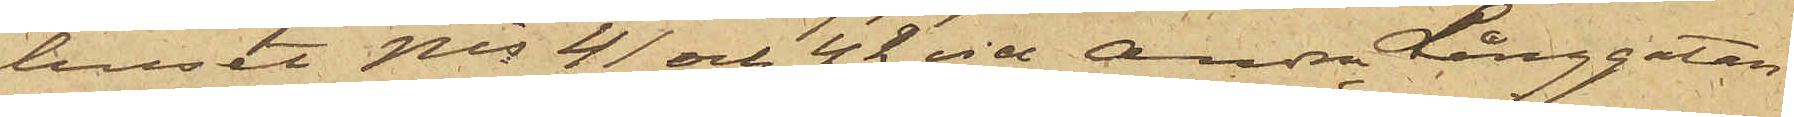huset Nis 41 och 42 vid Andra Långgatan
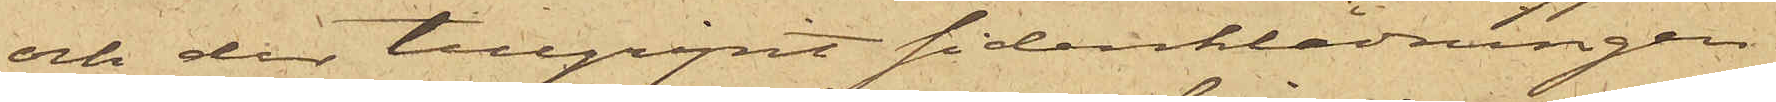och der tillgripit sidenklädningen
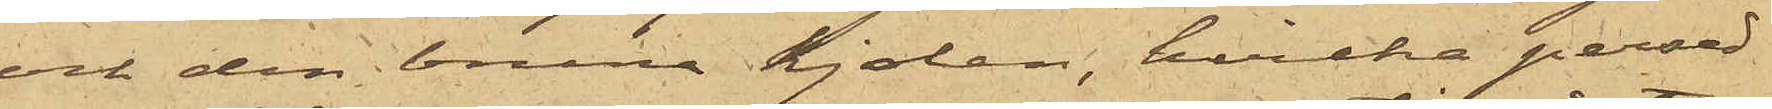och den bruna kjolen, hvilka persed¬
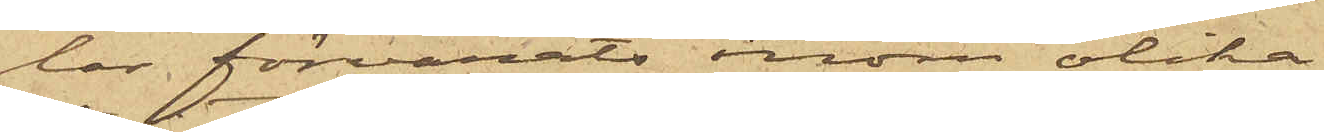lar förvarats inom olika
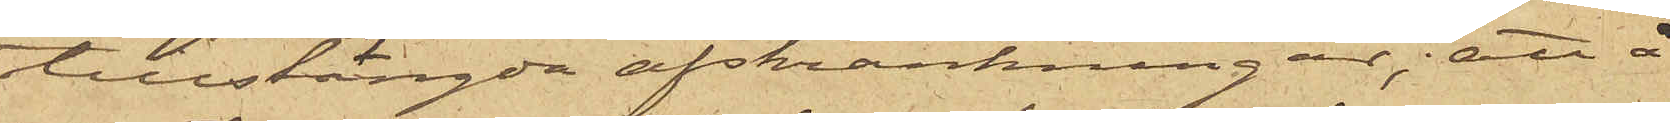tillstängda avskrankningar; att å
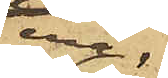ena
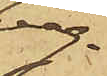väg¬
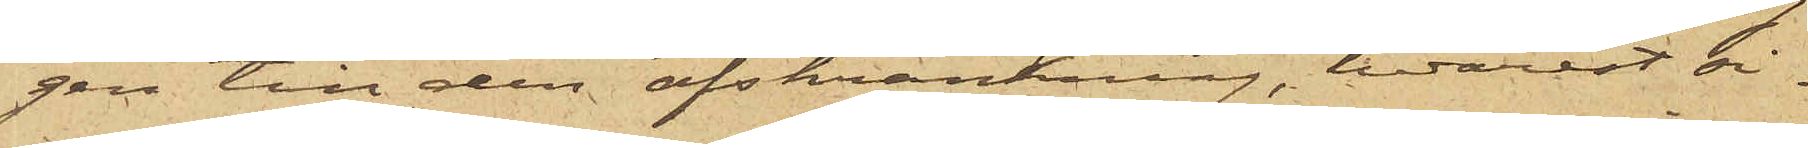gen till den avskrankning, hvarest si¬
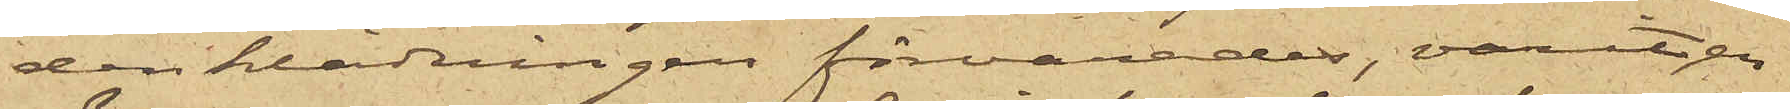den klädningen förvarades, varit en 
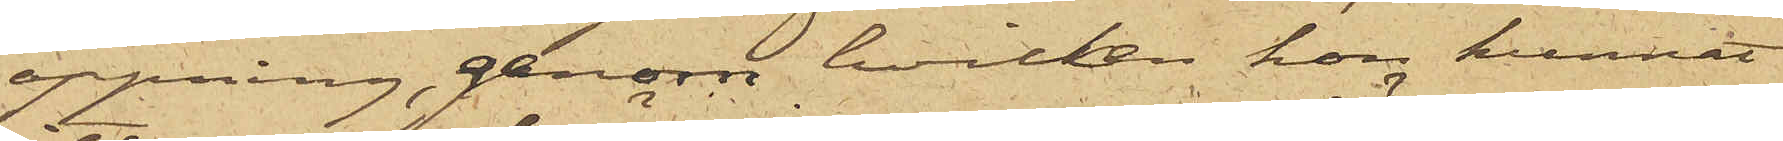öppning, genom hvilken hon kunnat
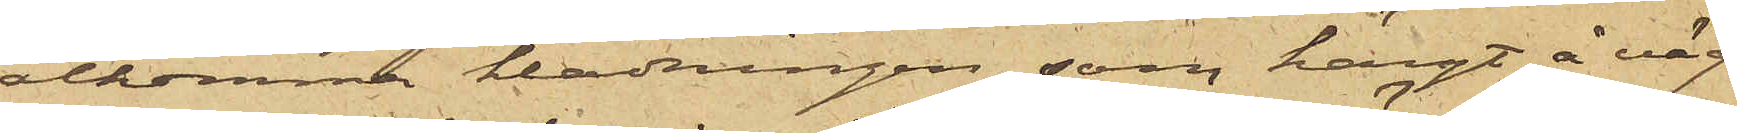åtkomma klädningen, som hängt å väg¬
